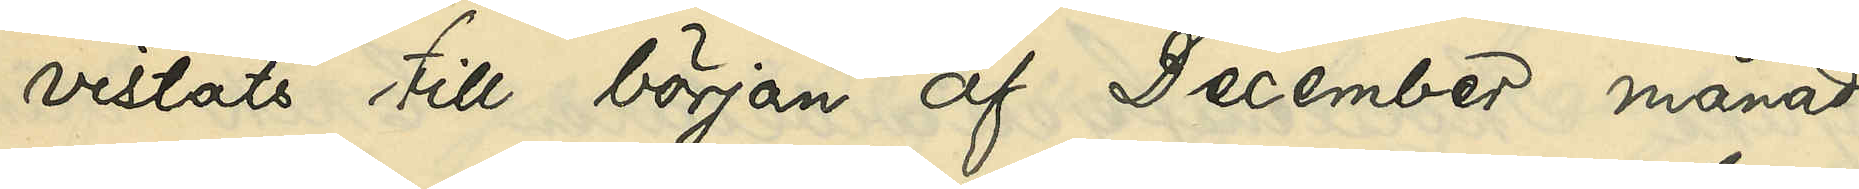vistats till början af December månad
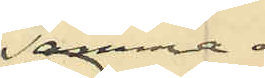samma år;
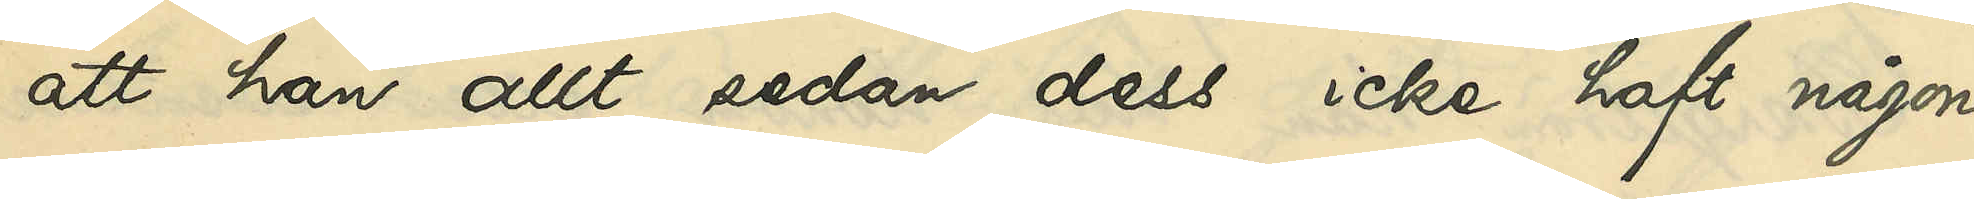att han allt sedan dess icke haft någon
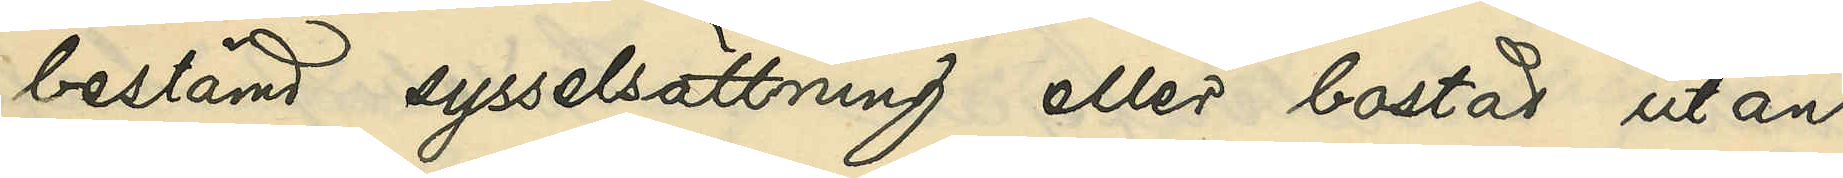bestämd sysselsättning eller bostad utan
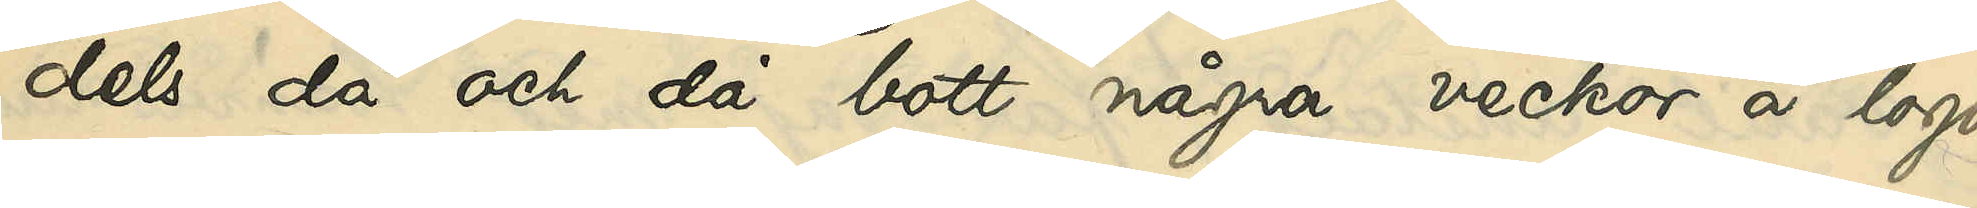dels då och då bott några veckor å logi
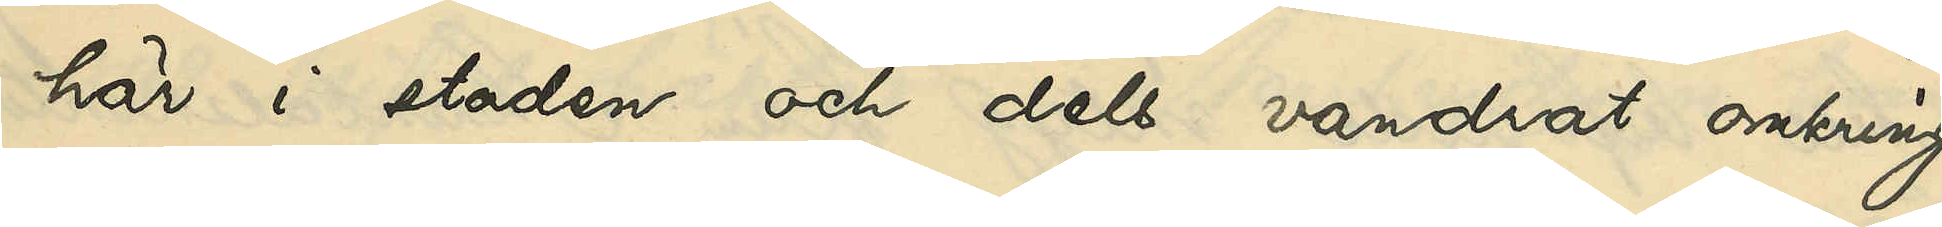här i staden och dels vandrat omkring
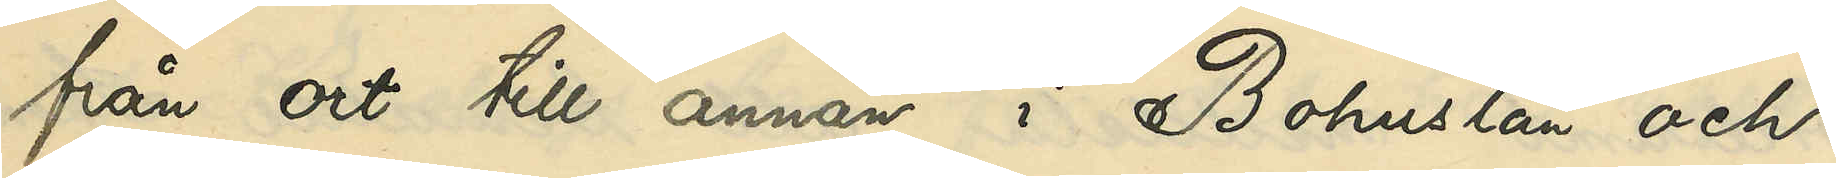från ort till annan i Bohuslän och
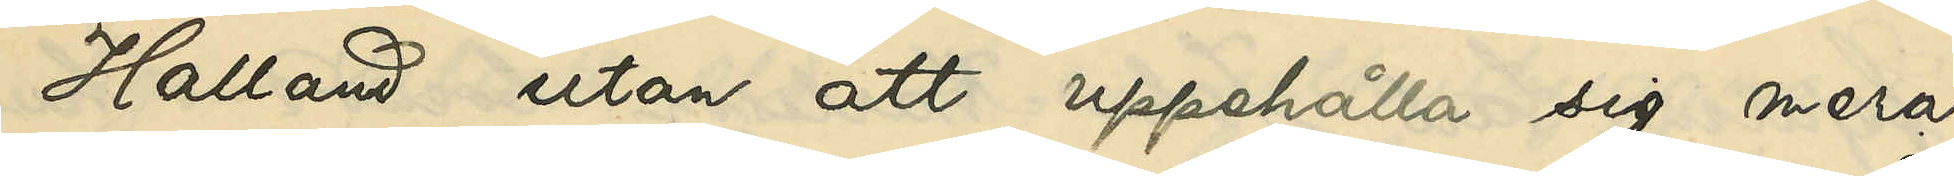Halland utan att uppehålla sig mera
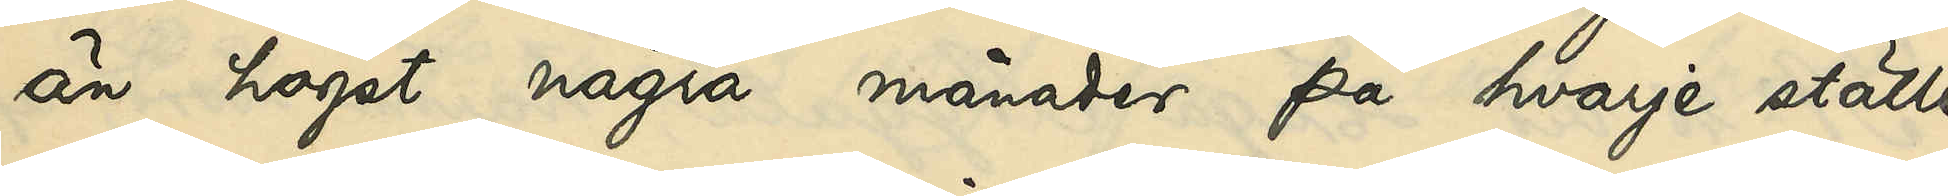än högst några månader på hvarje ställe
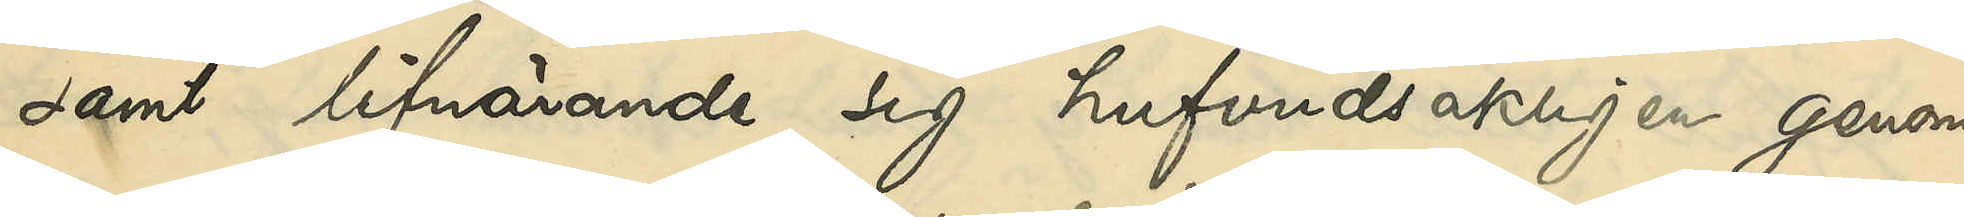samt lifnärande sig hufvudsakligen genom
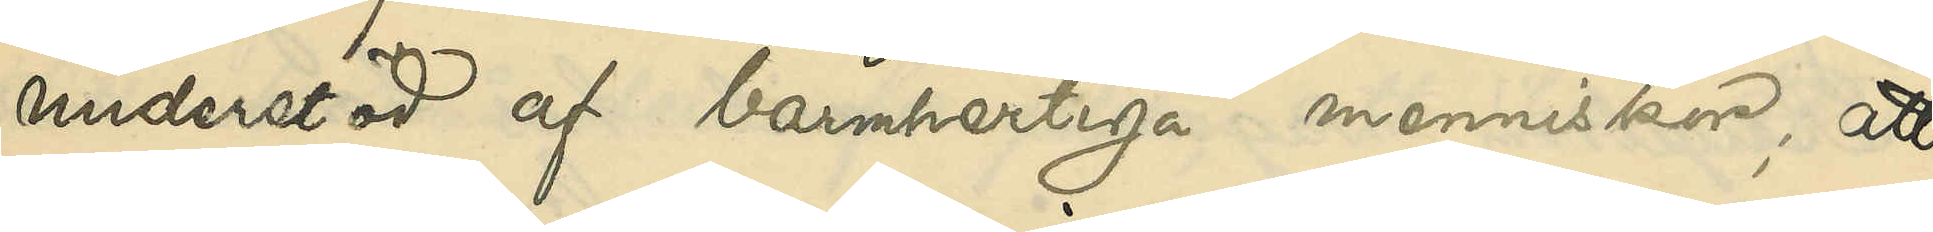understöd af barmhertiga menniskor; att
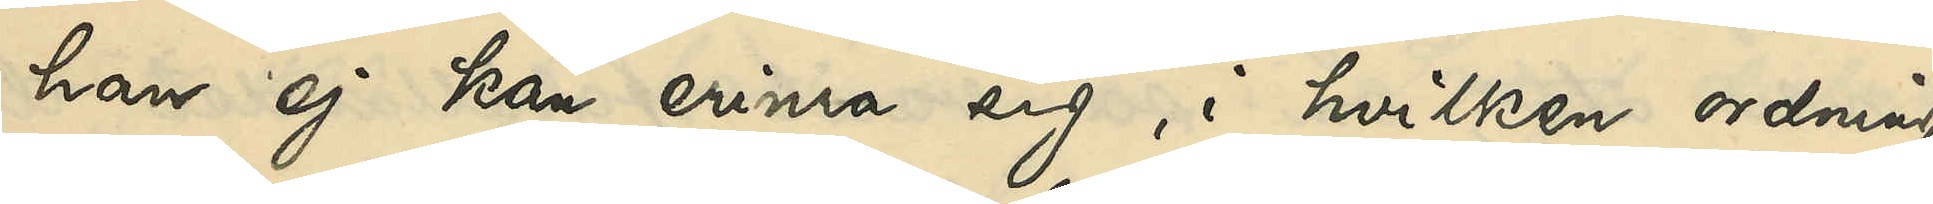han ej kan erinra sig i hvilken ordning
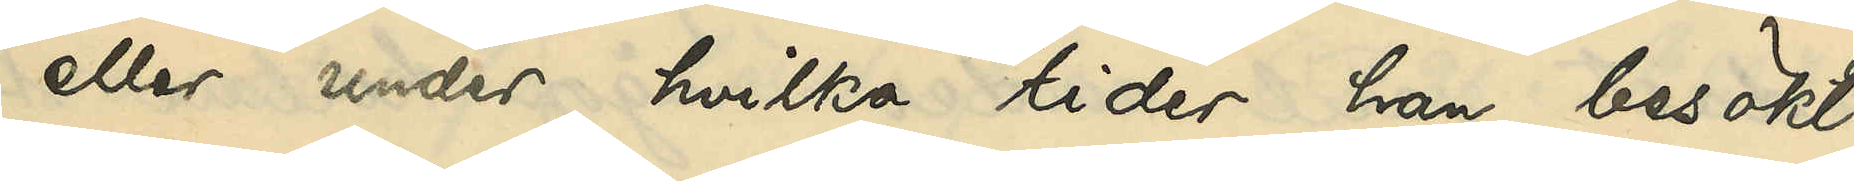eller under hvilka tider han besökt
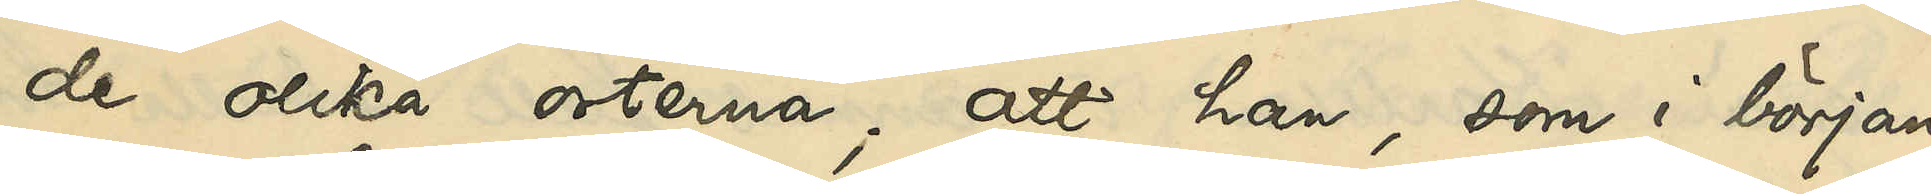de olika orterna; att han, som i början
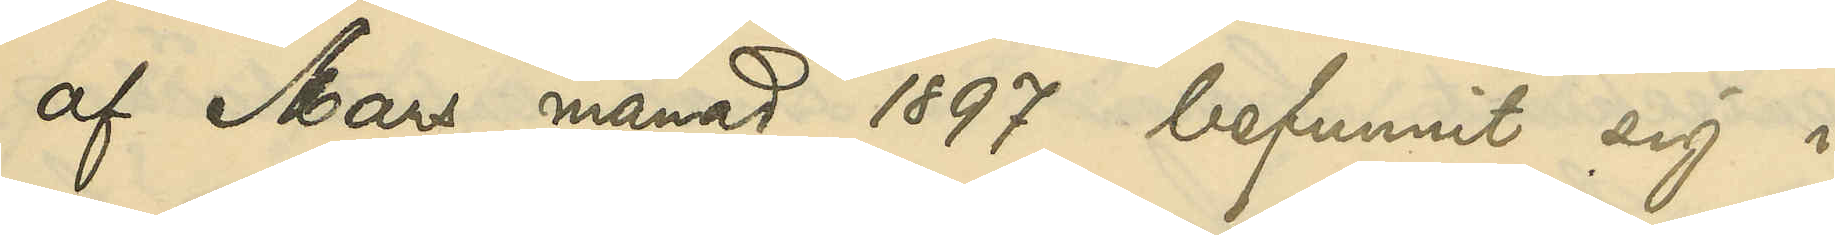af Mars månad 1897 befunnit sig i
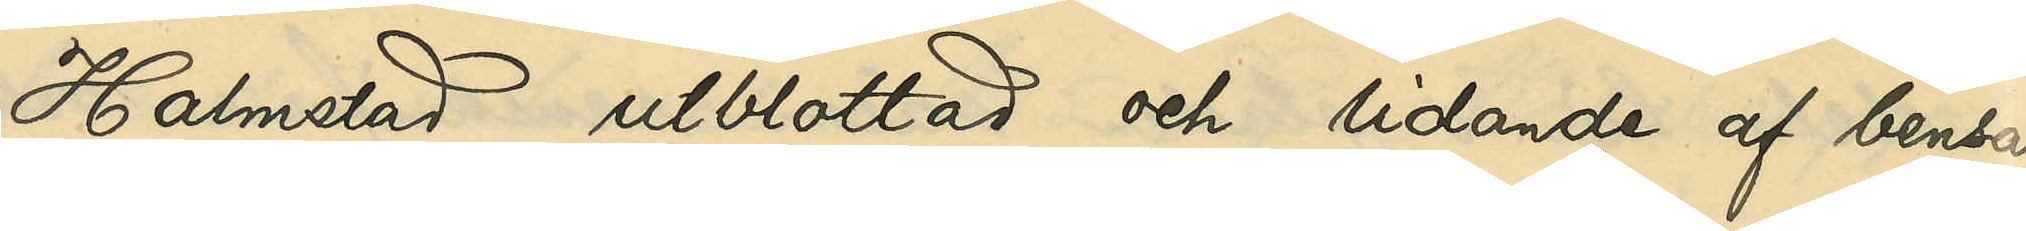Halmstad, utblottad och lidande af bensår
